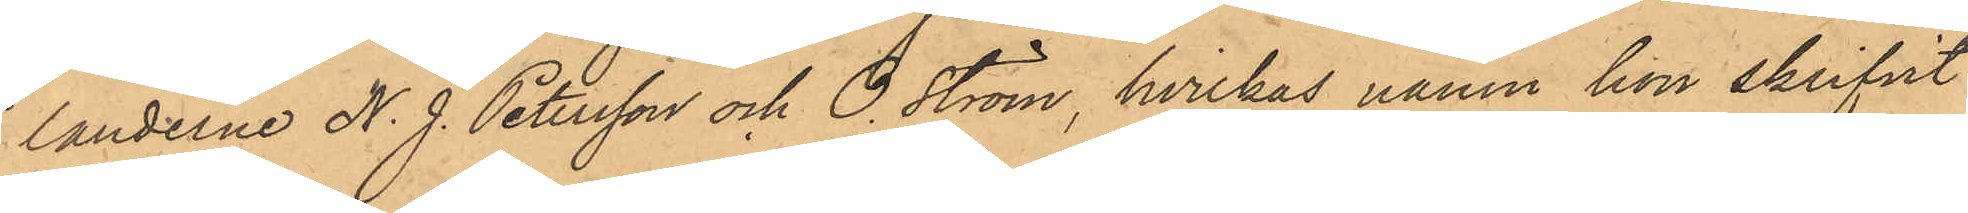landerne N. J. Petersson och O. Ström, hvilkas namn hon skrifvit
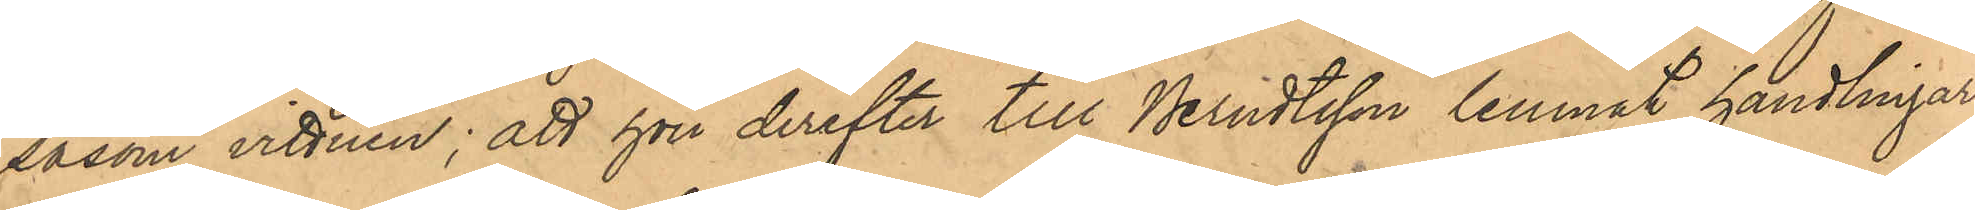såsom vittnen; att hon derefter till Berndtsson lemnat handlingar¬
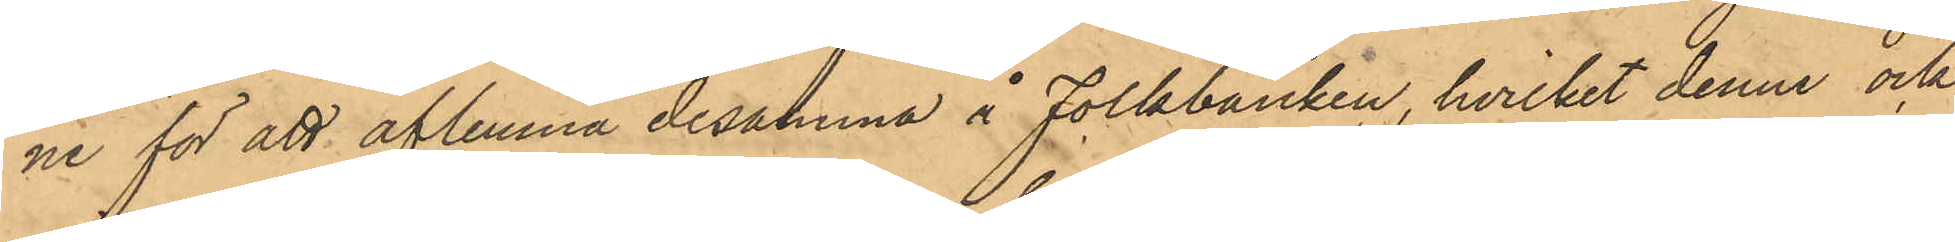ne för att aflemna desamma å Folkbanken, hvilket denne ock
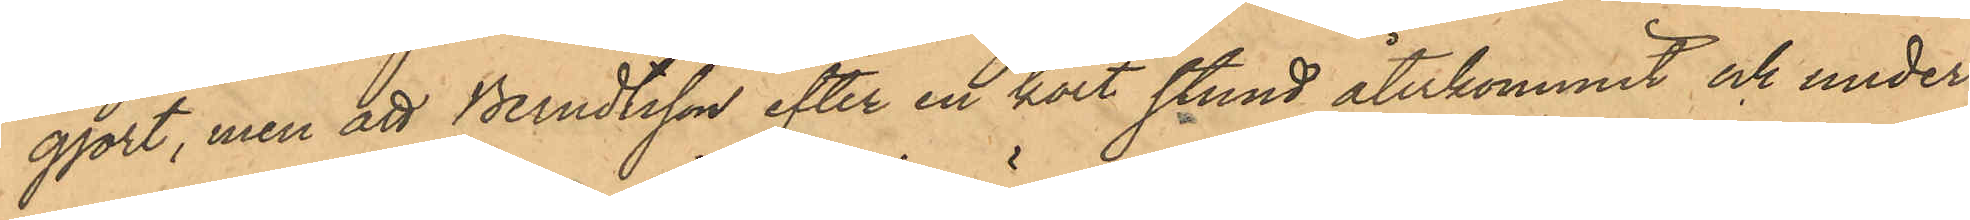gjort, men att Berndtsson efter en kort stund återkommit och under
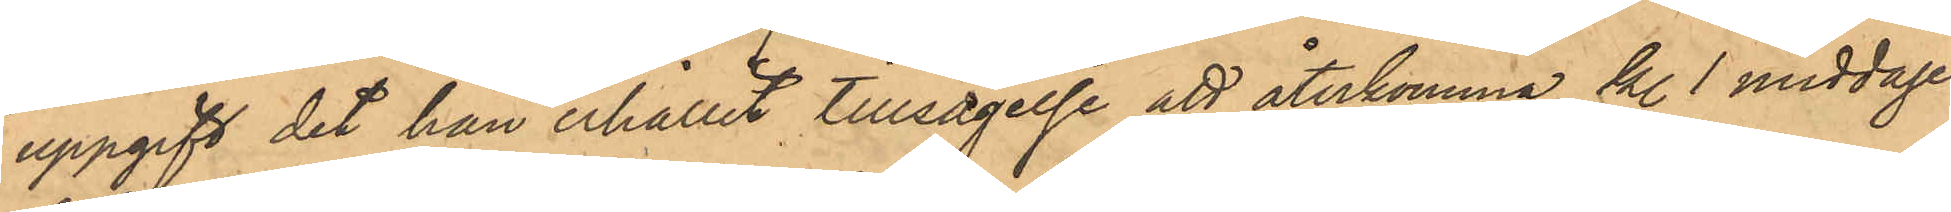uppgift det han erhållit tillsägelse att återkomma kl. 1 middagen,
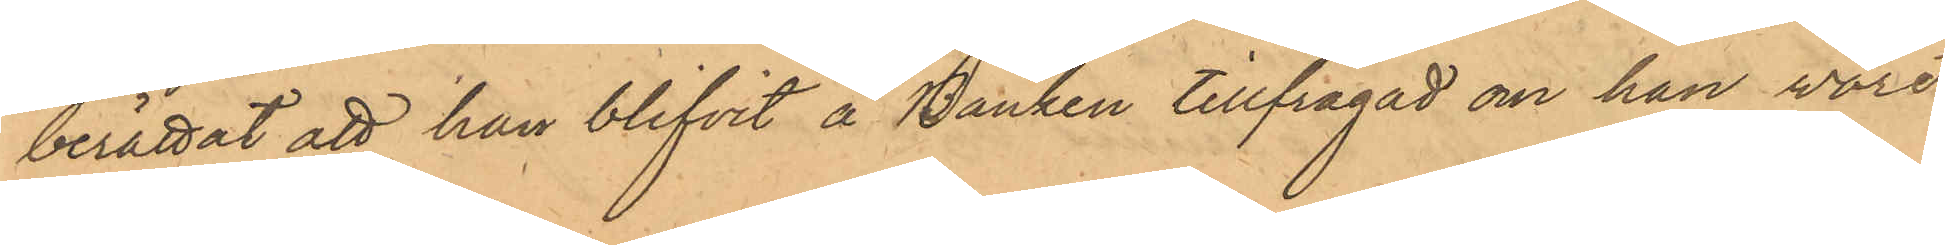berättat att han blifvit å Banken tillfrågad om han vore
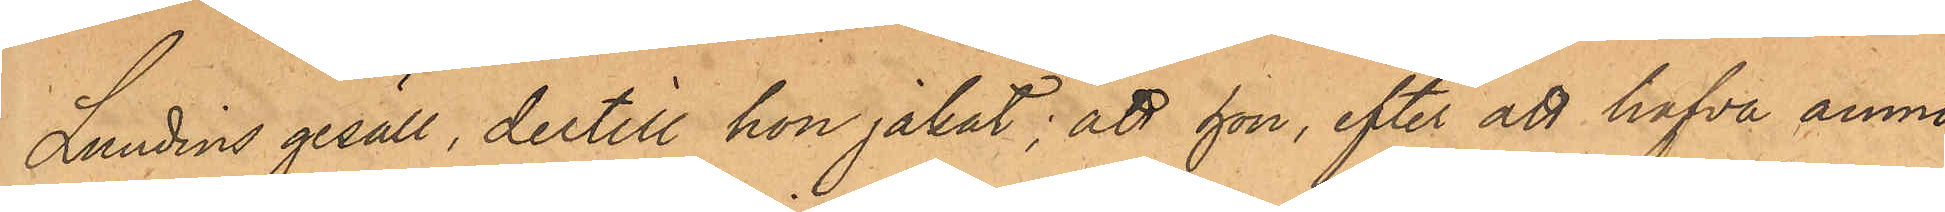Lundins gesäll, dertill hon jakat; att hon, efter att hafva anmo¬
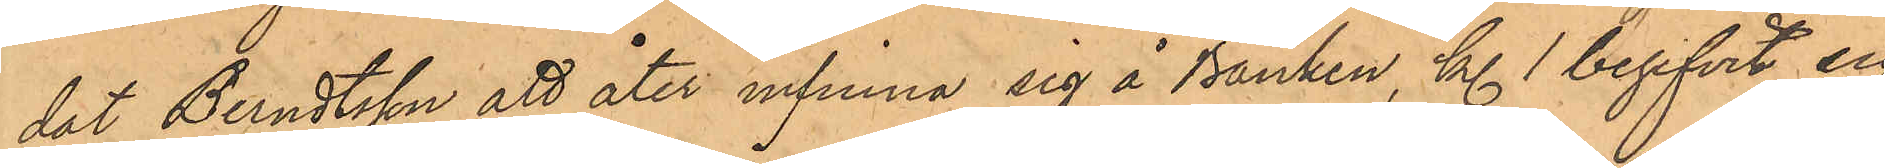det Berndtsson att åter infinna sig å Banken, kl. 1 begifvit sig
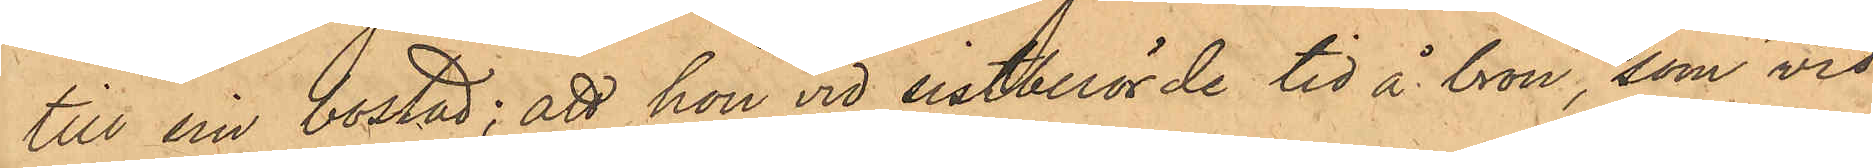till sin bostad; att hon vid sistberörde tid å bron, som vid
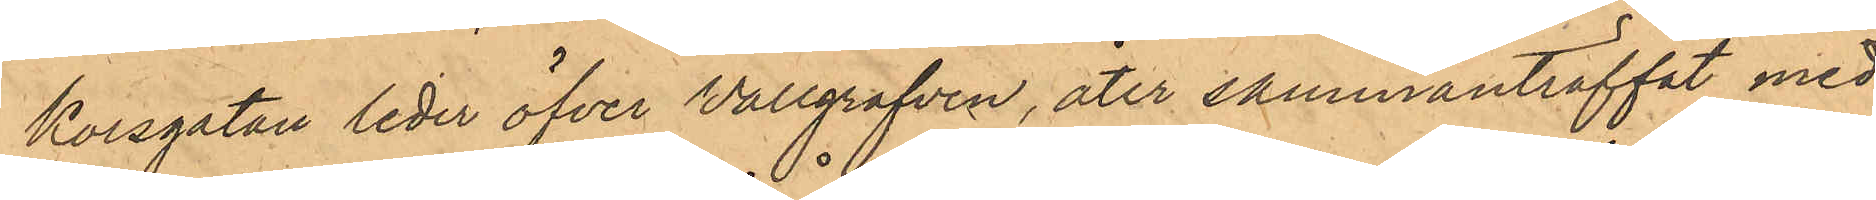Korsgatan leder öfver Vallgrafven, åter sammanträffat med
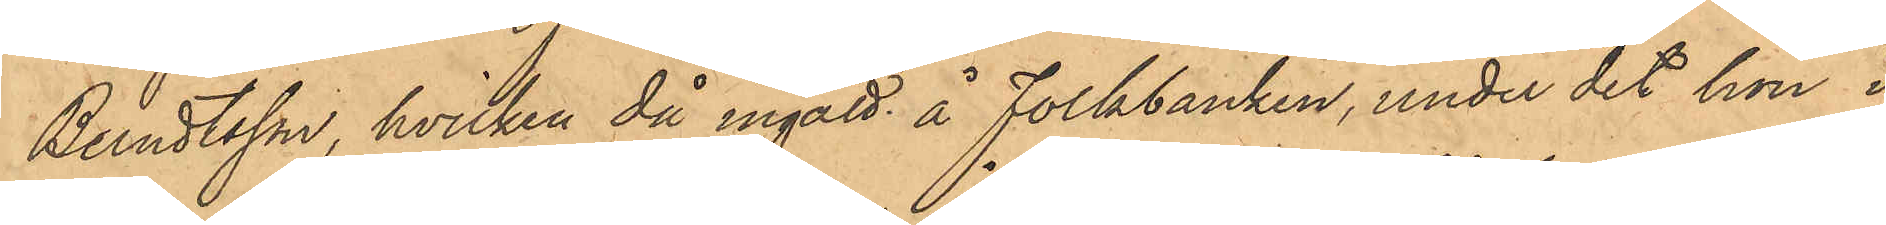Berndtsson, hvilken då ingått å Folkbanken, under det hon i
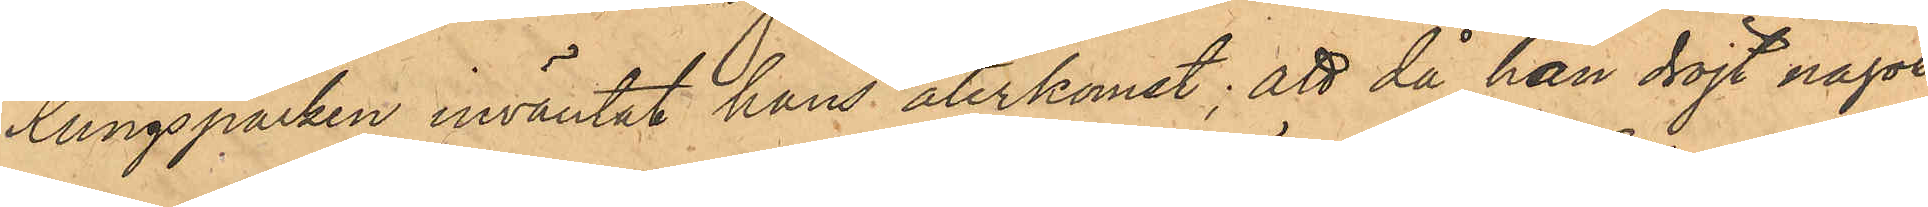Kungsparken inväntat hans återkomst; att då han dröjt något,
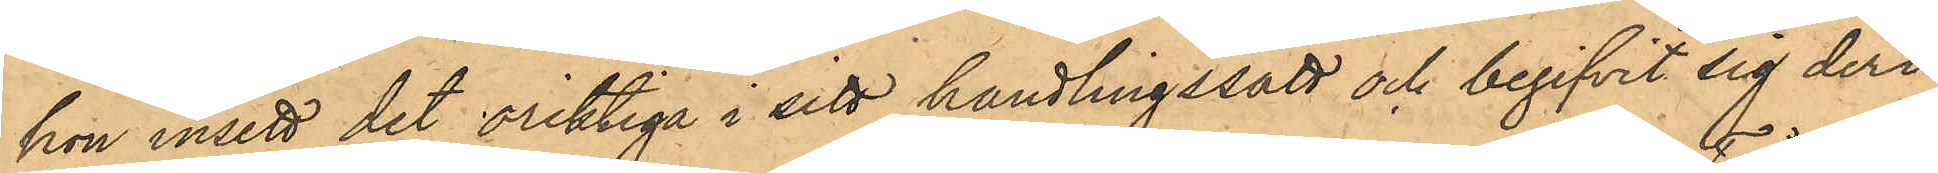hon insett det oriktiga i sitt handlingssätt och begifvit sig deri¬
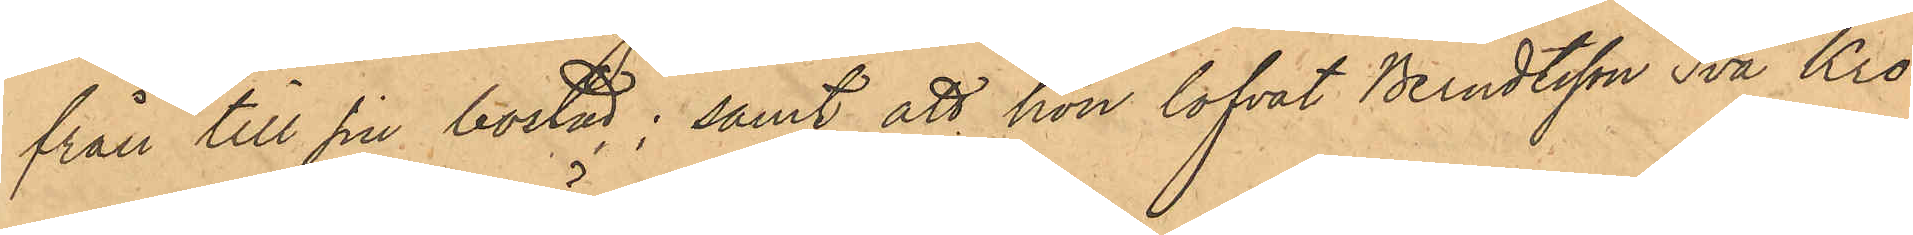från till sin bostad; samt att hon lofvat Berndtsson Två Kro¬
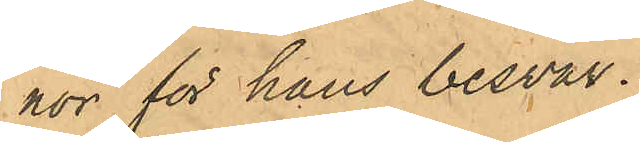hor för hans besvär.
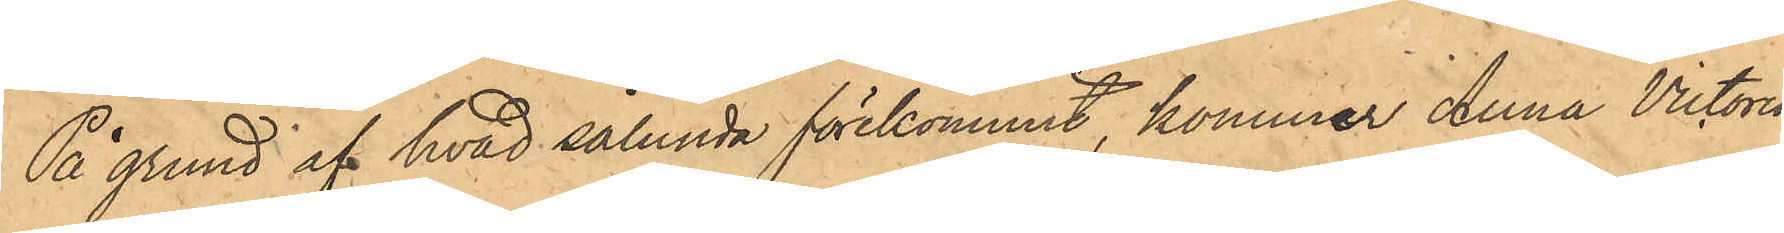På grund af hvad sålunda förekommit, kommer Anna Victoria
